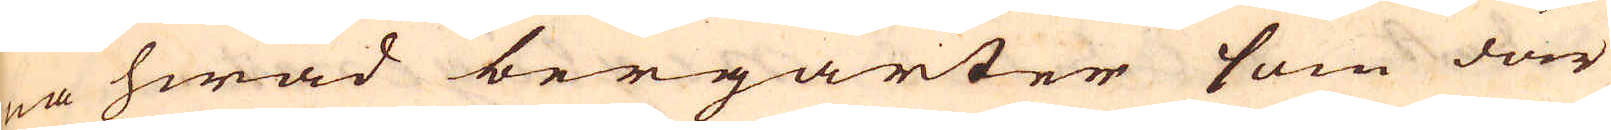na hwad bergarter som där
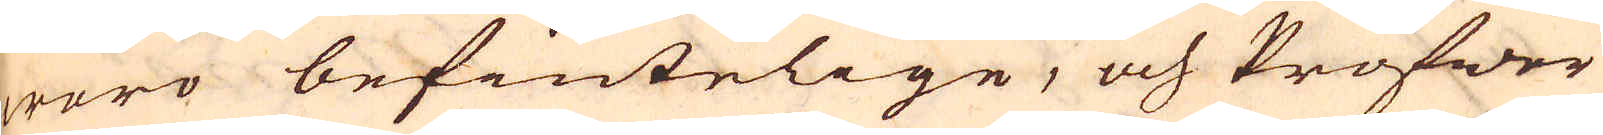woro befintelige, och Profwer
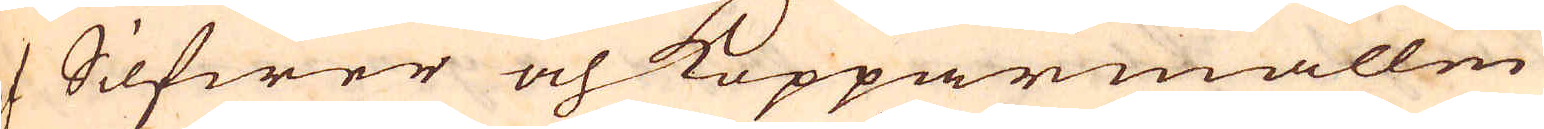af Silfwer och Kopparmalm
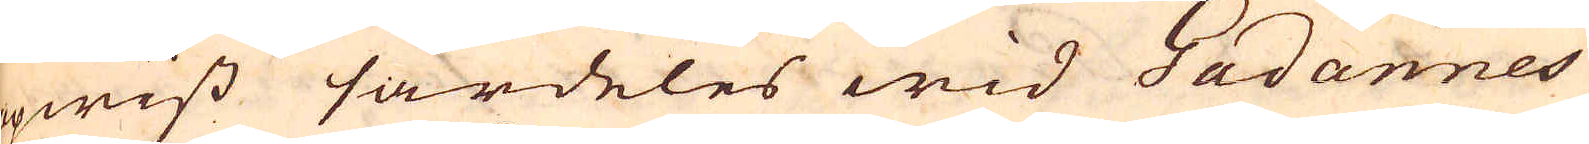opwist särdeles wid Gadannes
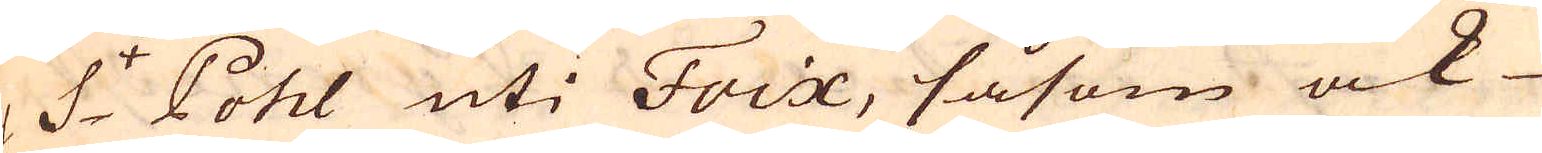och S:t Pohl uti Foix, såsom ock
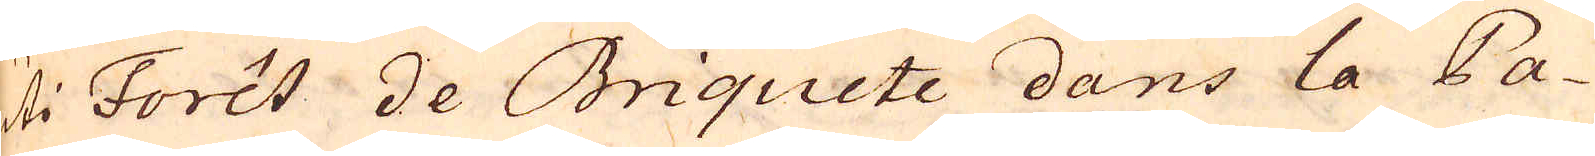uti Foret de Briquete dans la Pa-
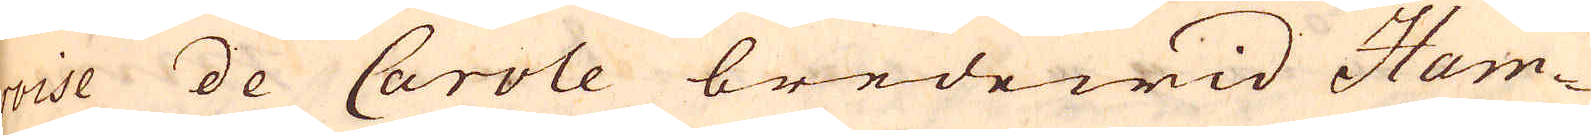roise de Carole bredewid Ham-
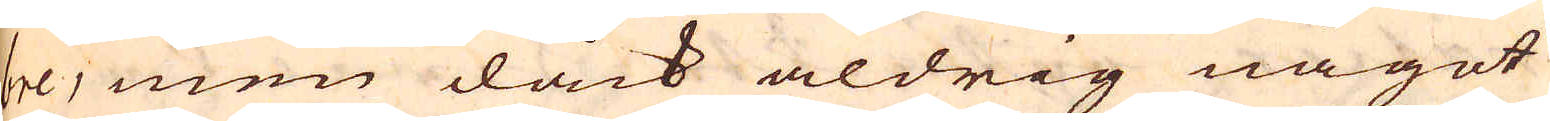bre, men dåck aldrig något
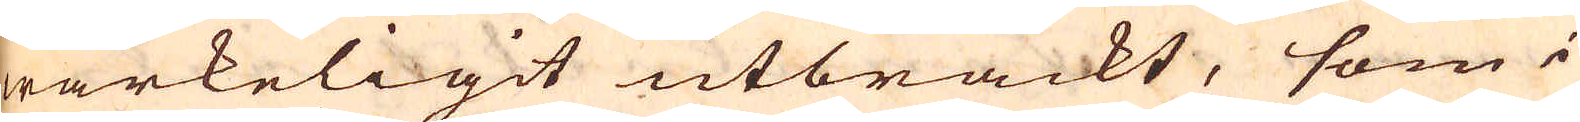wärkeligit utbräckt, som i
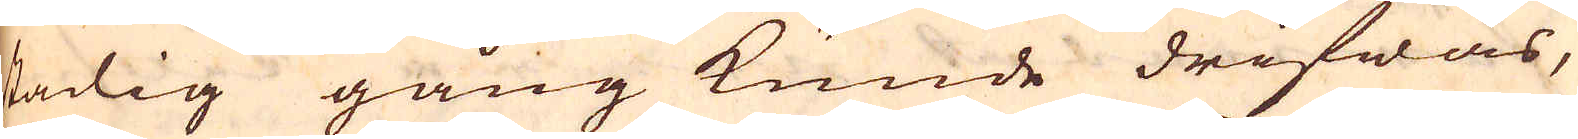stadig gång kunde drifwas,
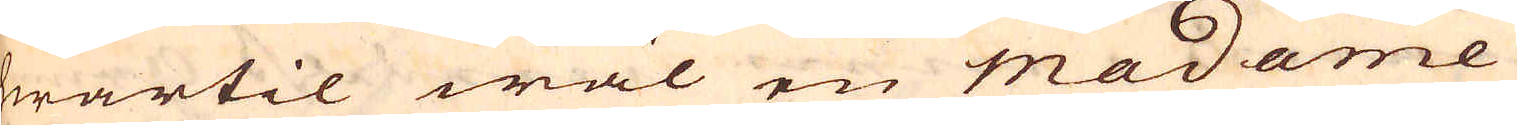hwartil wäl en Madame
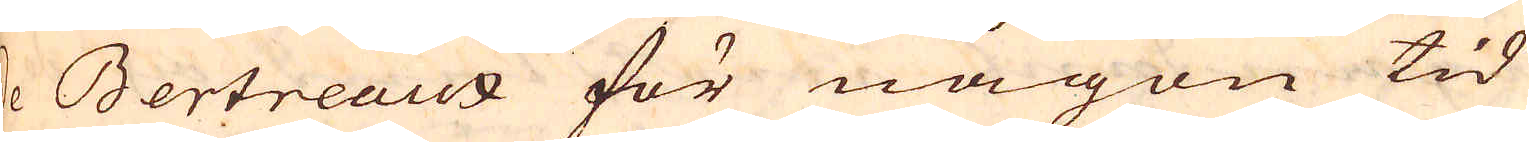a Bertreaux för någon tid
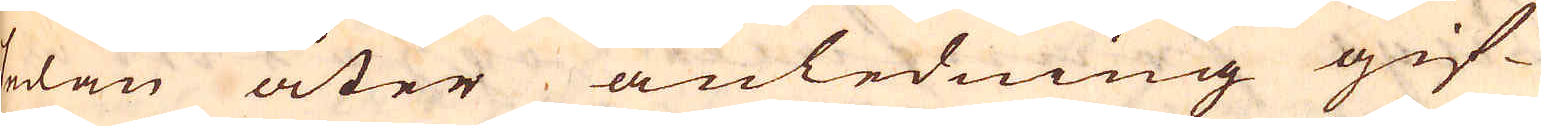sedan åter anledning gif-
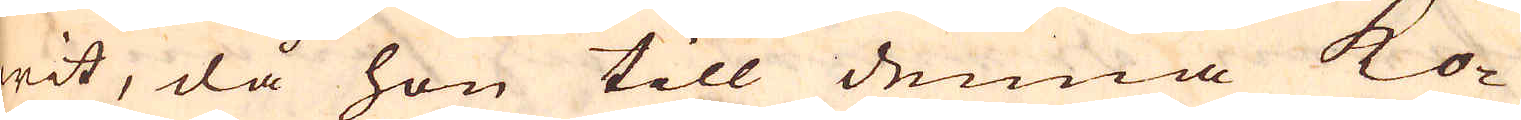wit, då hon till denna ko-
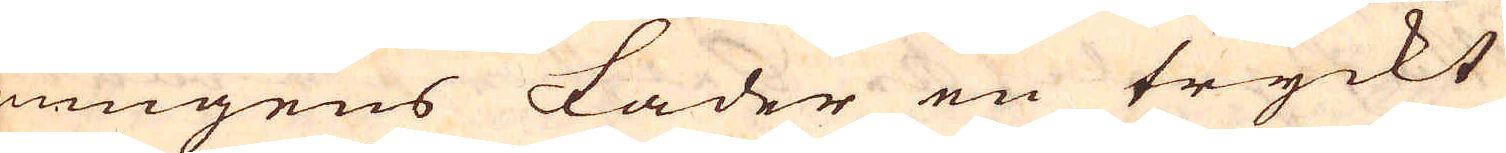nungens fader en tryckt
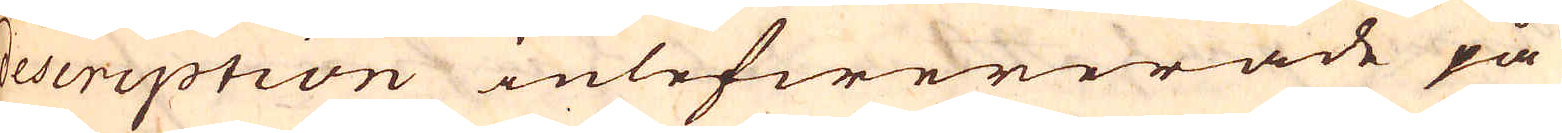description inlefwererade på
